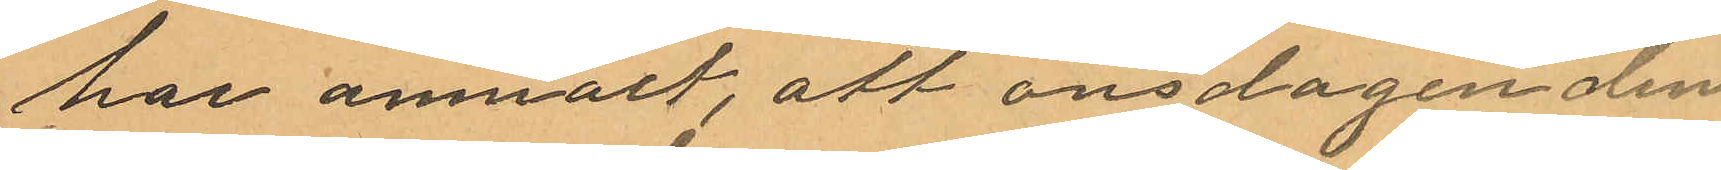har anmält, att onsdagen den
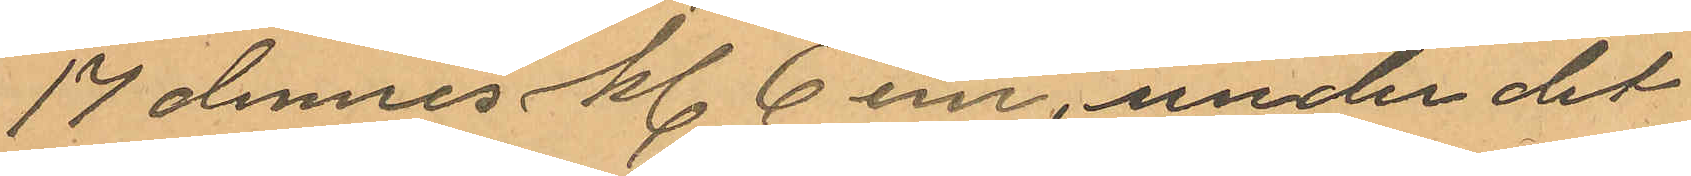17 dennes kl 6em, under det
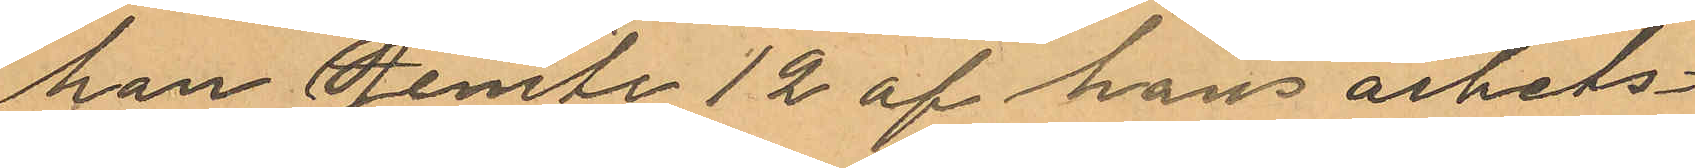han jemte 12 af hans arbets¬
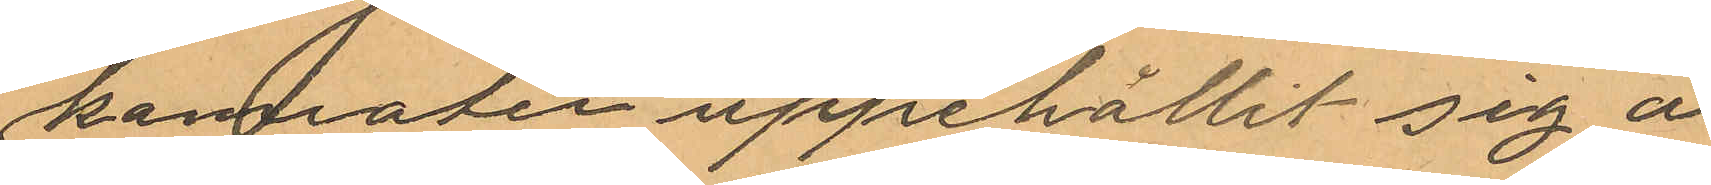kamrater uppehållit sig å
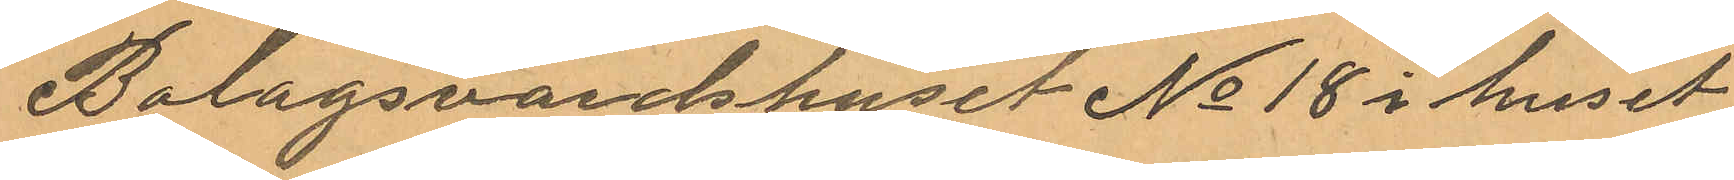Bolagsvärdshuset No 18 i huset
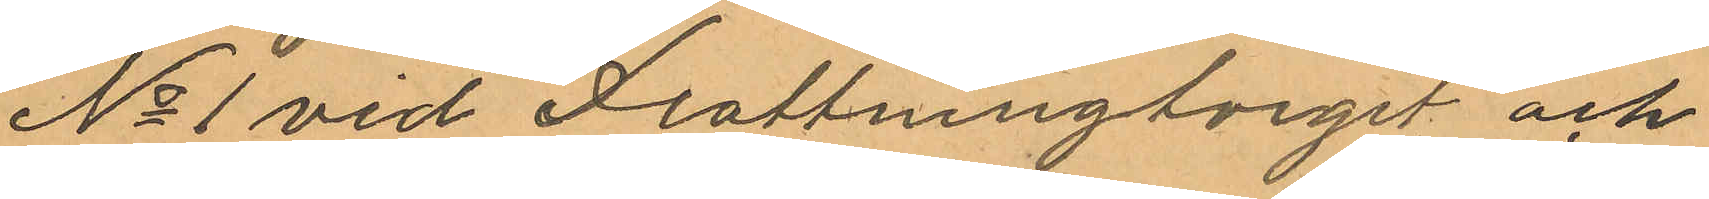No 1 vid Drottningtorget och
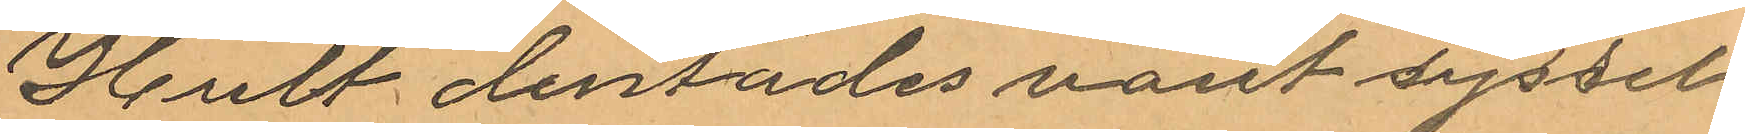Hult derstädes varit syssel¬
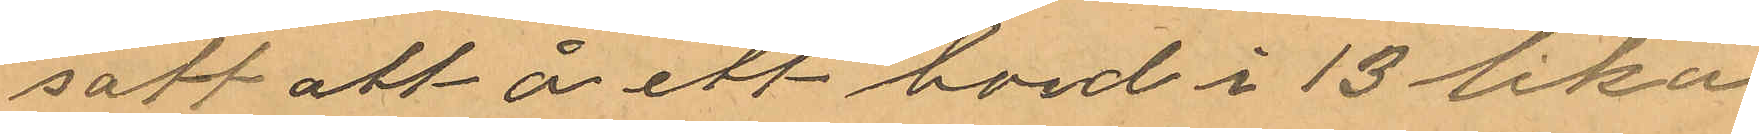satt att å ett bord i 13 lika
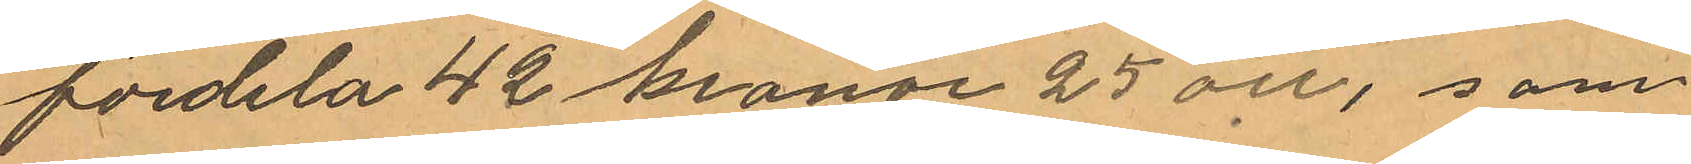fördela 42 kronor 25 öre, som
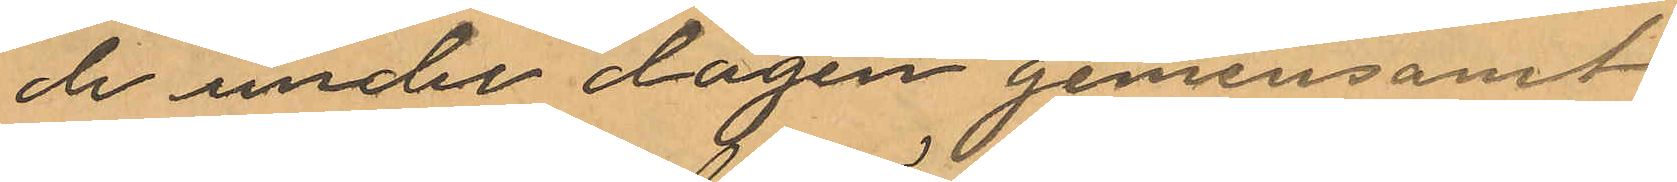de under dagen gemensamt
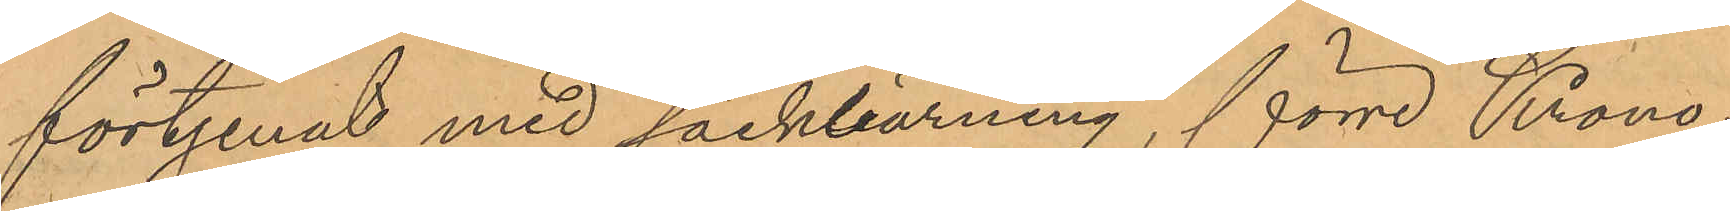förtjenat med säckbärning, förre Krono¬
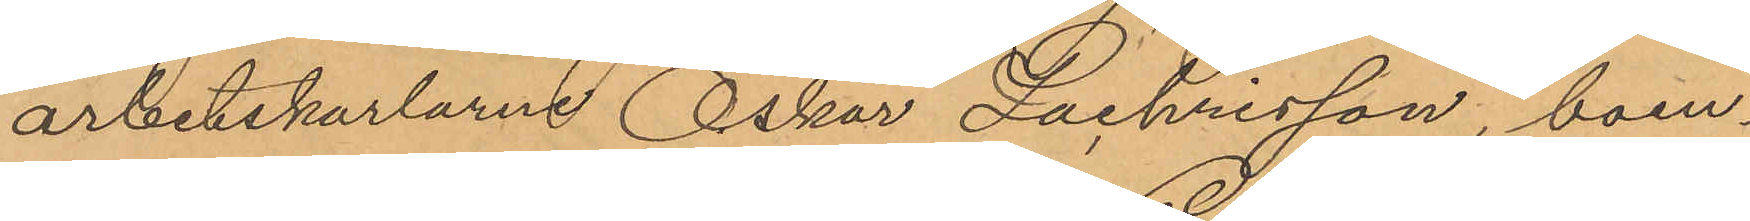arbetskarlarne Oskar Zachrisson, boen¬
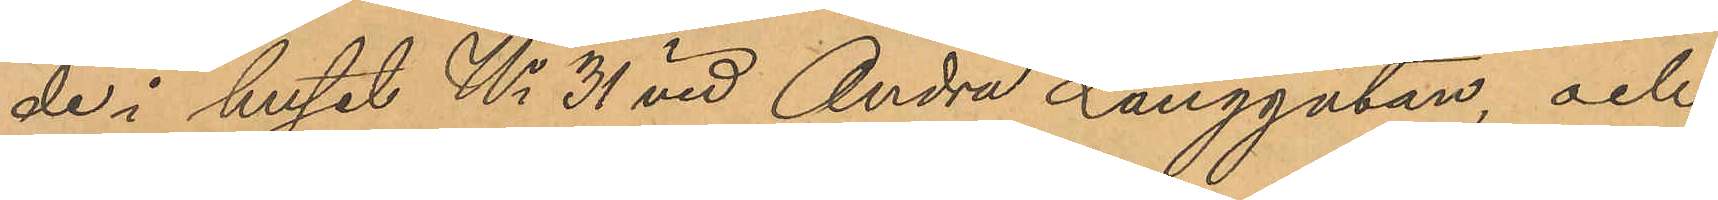de i huset No 31 vid Andra Långgatan, och
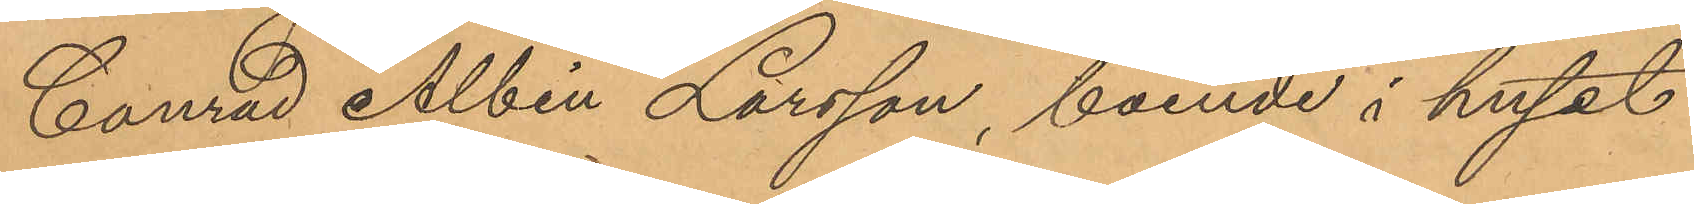Conrad Albin Larsson, boende i huset
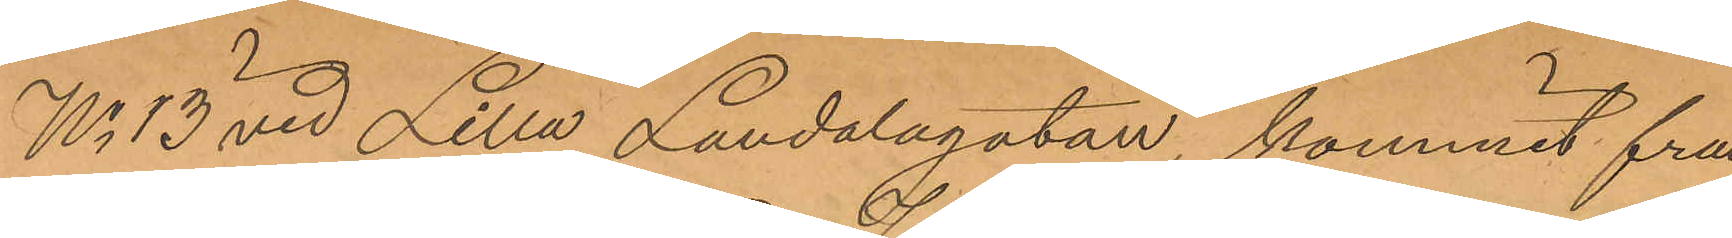No 13 vid Lilla Landalagatan, kommit fram
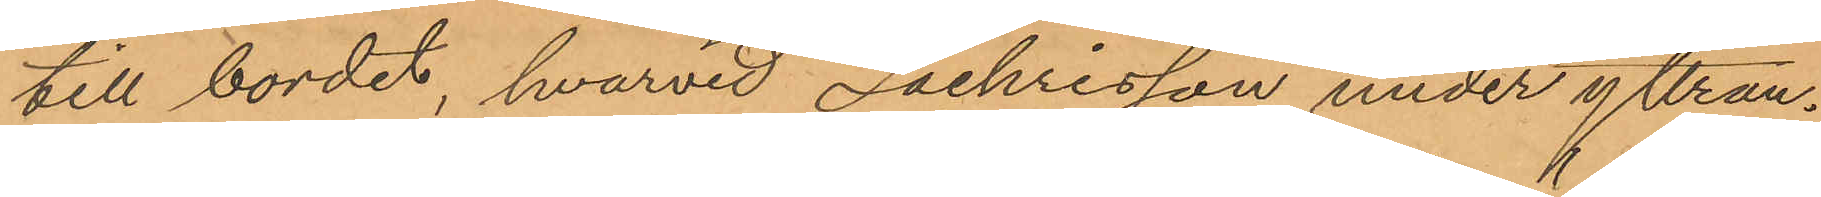till bordet, hvarvid Zachrisson under yttran¬
